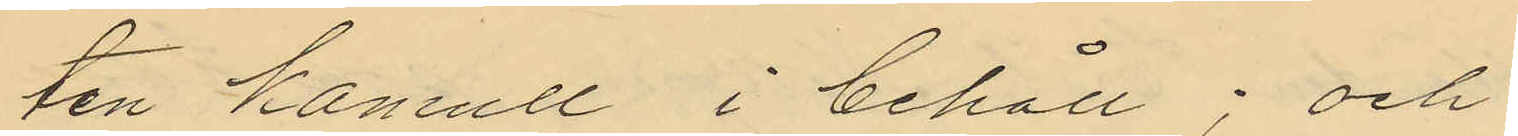ten kamull i behåll; och
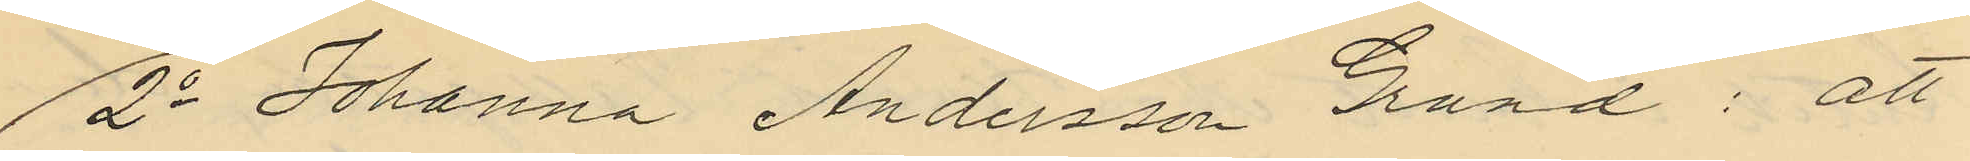2o Johanna Andersson Grund: att
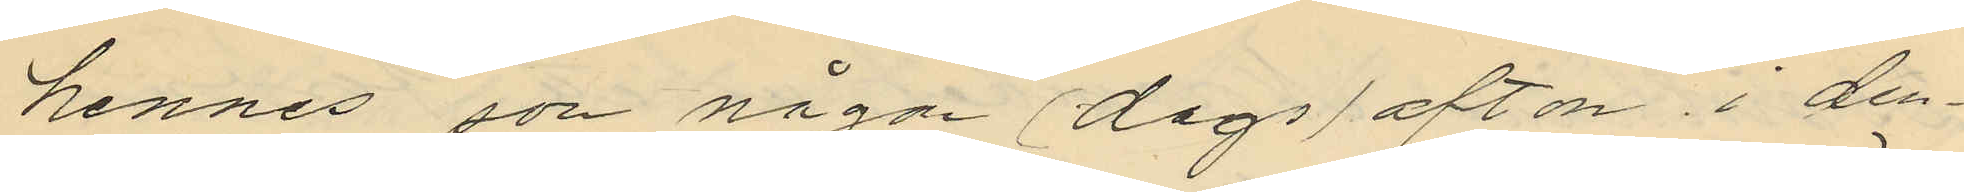hennes son någon (dags) afton i den¬
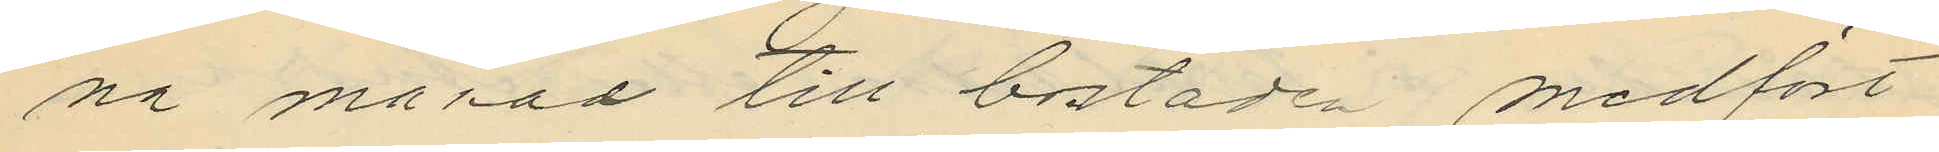na månad till bostaden medfört
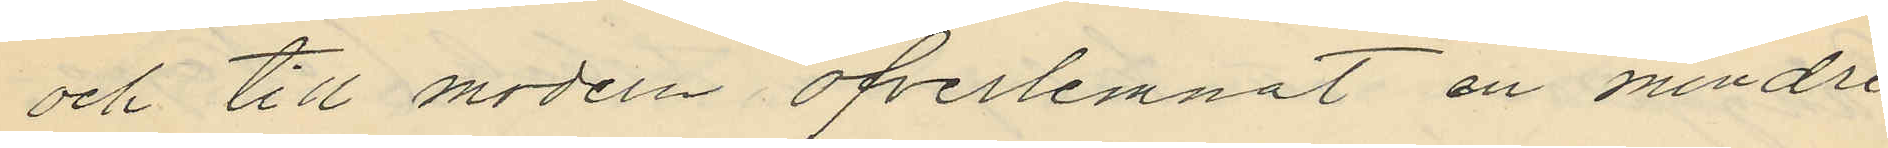och till modern öfverlemnat en mindre
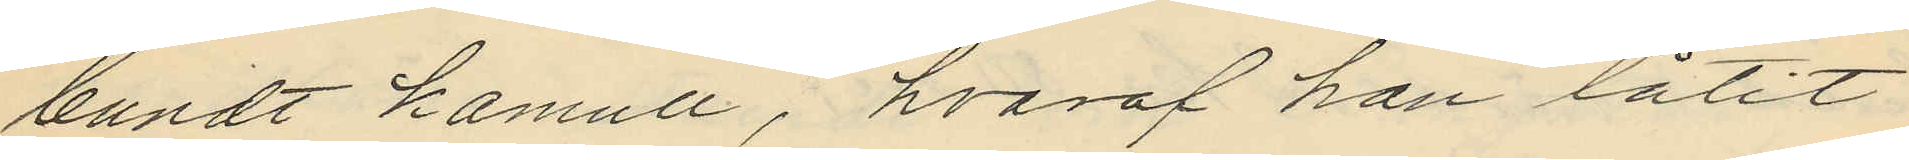bundt kamull, hvaraf hon låtit
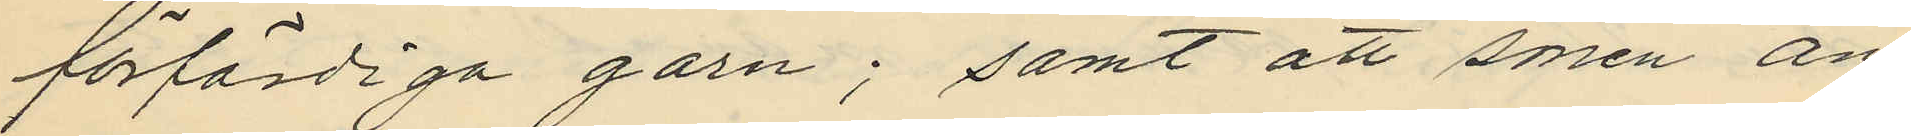förfärdiga garn; samt att sonen an¬
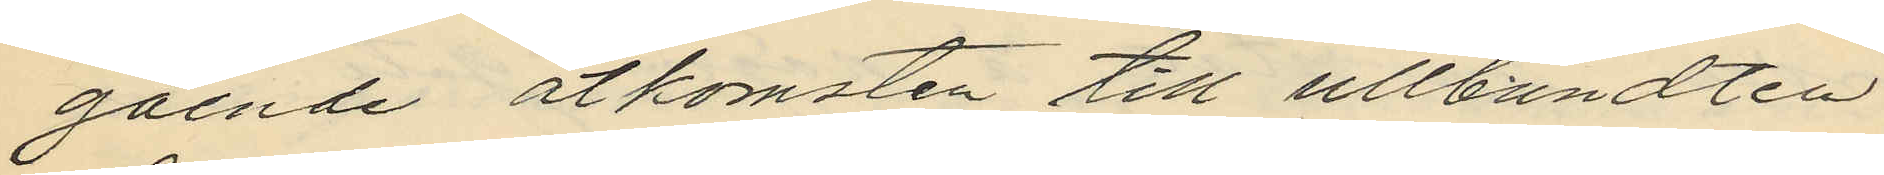gående åtkomsten till ullbundten
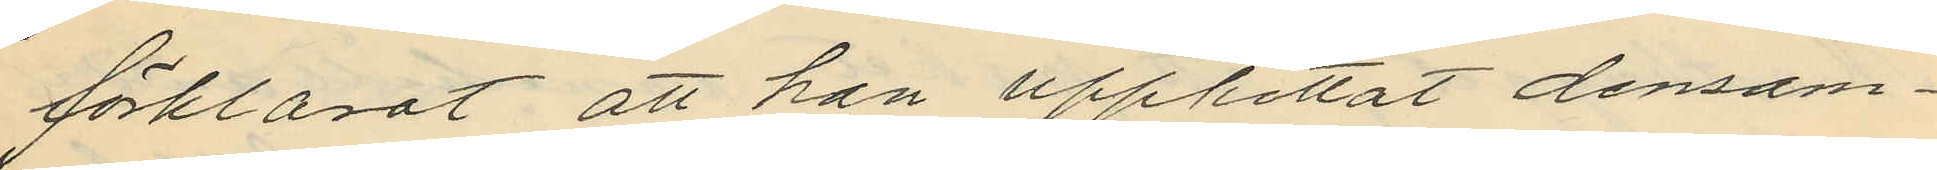förklarat att han upphittat densam¬
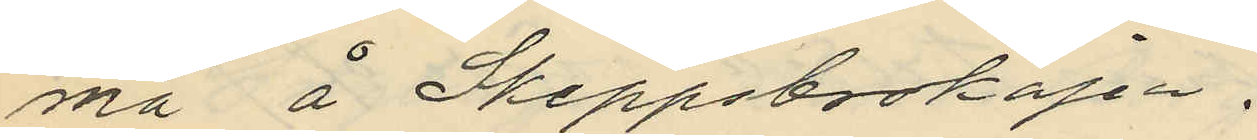ma å Skeppsboskajen.
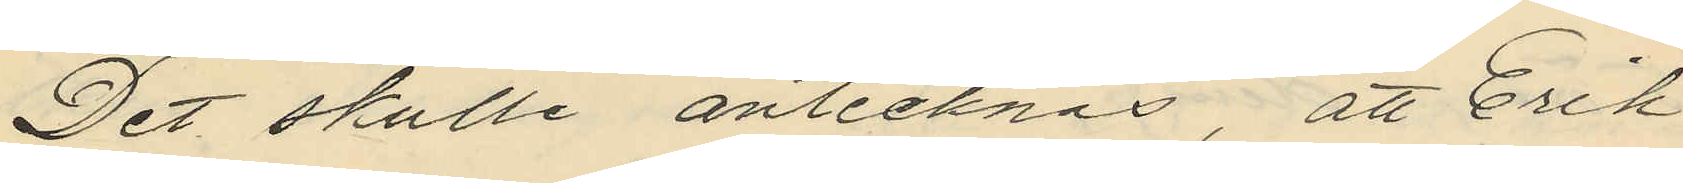Det skulle antecknas, att Erik
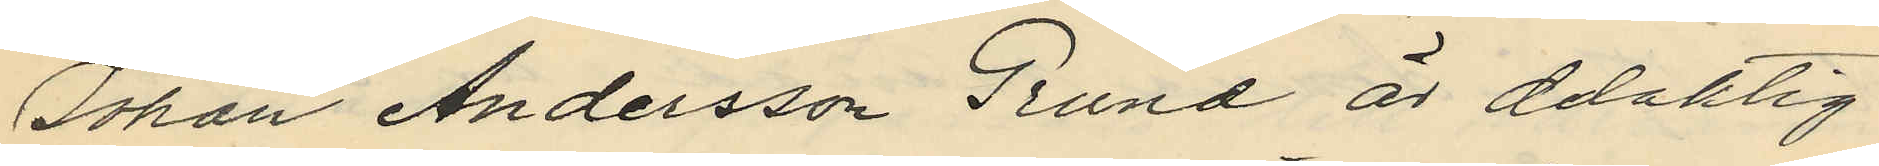Johan Andersson Grund är delaktig
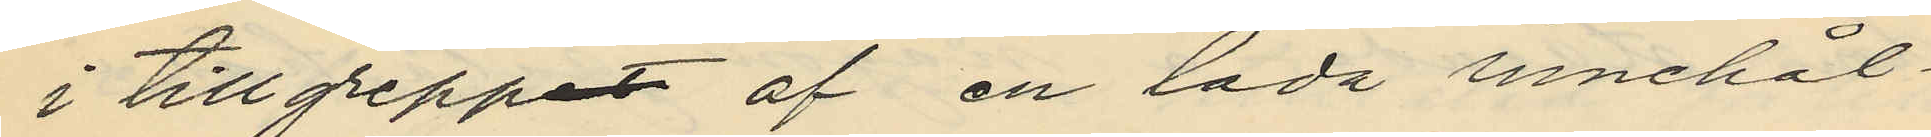i tillgreppet af en låda innehål¬
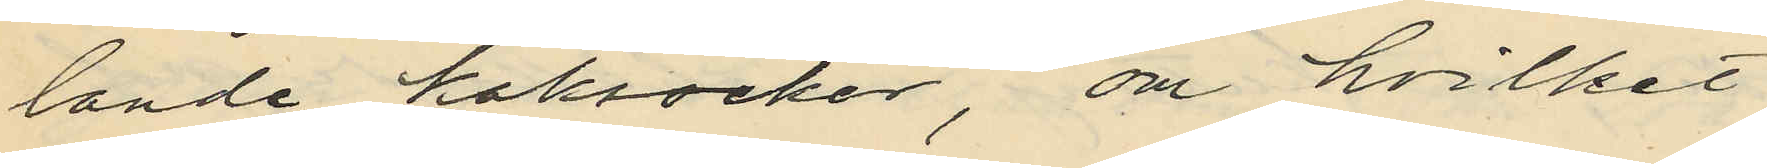lande koksocker, om hvilket
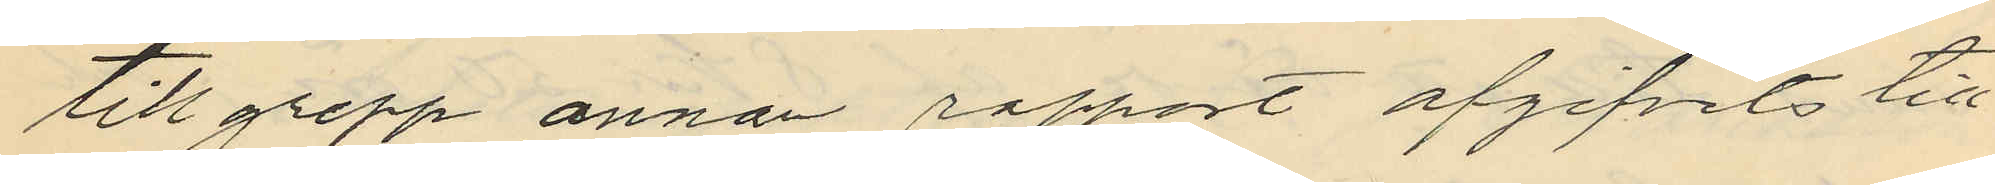tillgrepp annan rapport afgifvits till
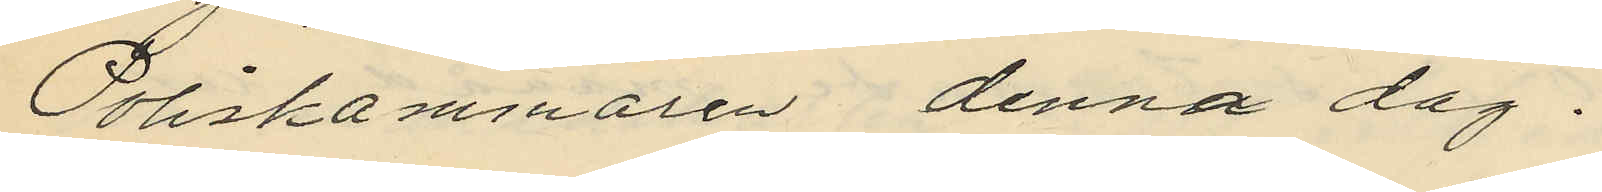Poliskammaren denna dag.
